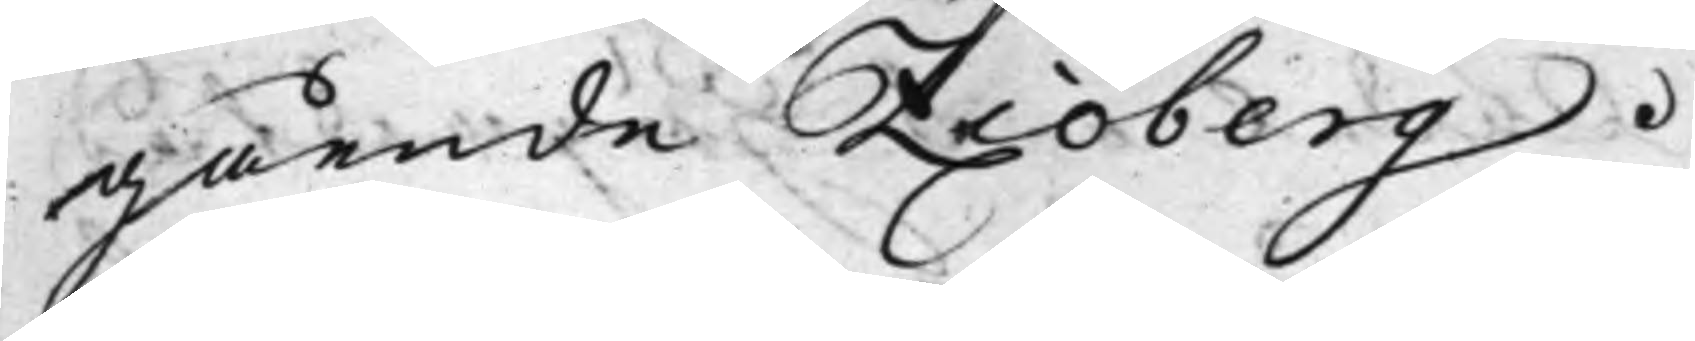gående Ziöberg.
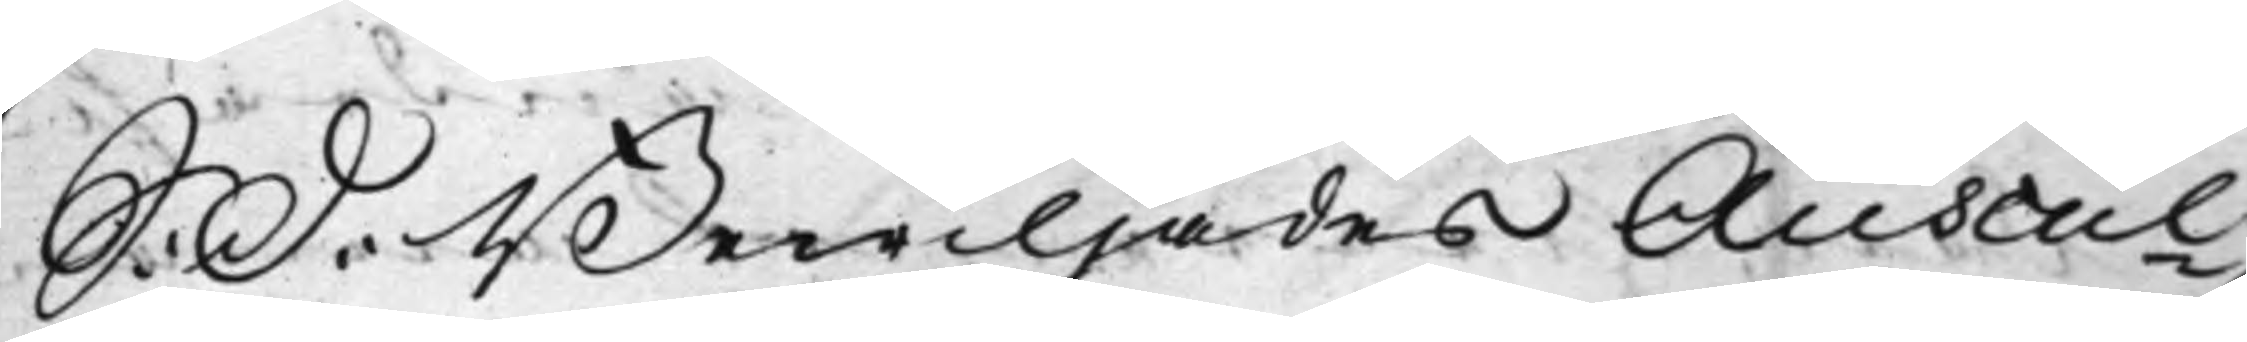S: D: Bewiljades Auscul¬
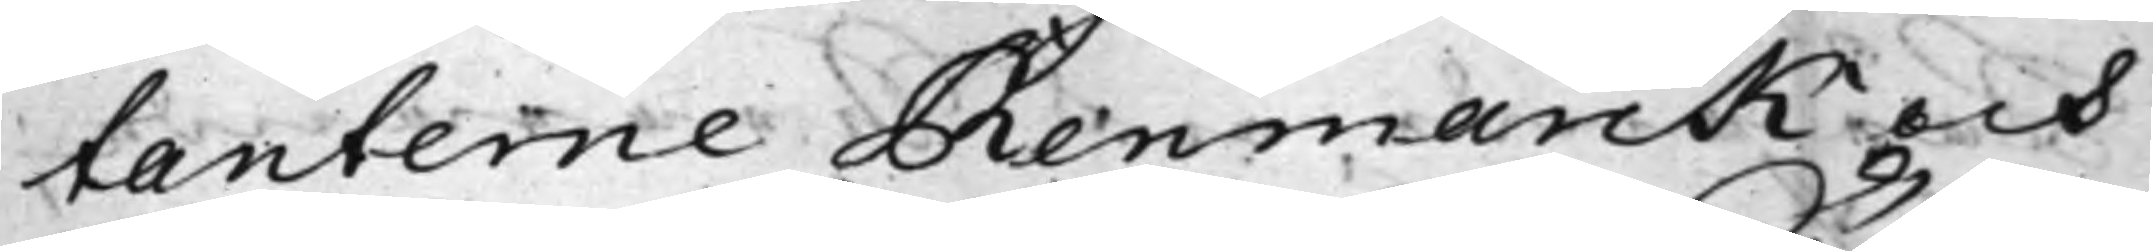tanterne Renmarck och
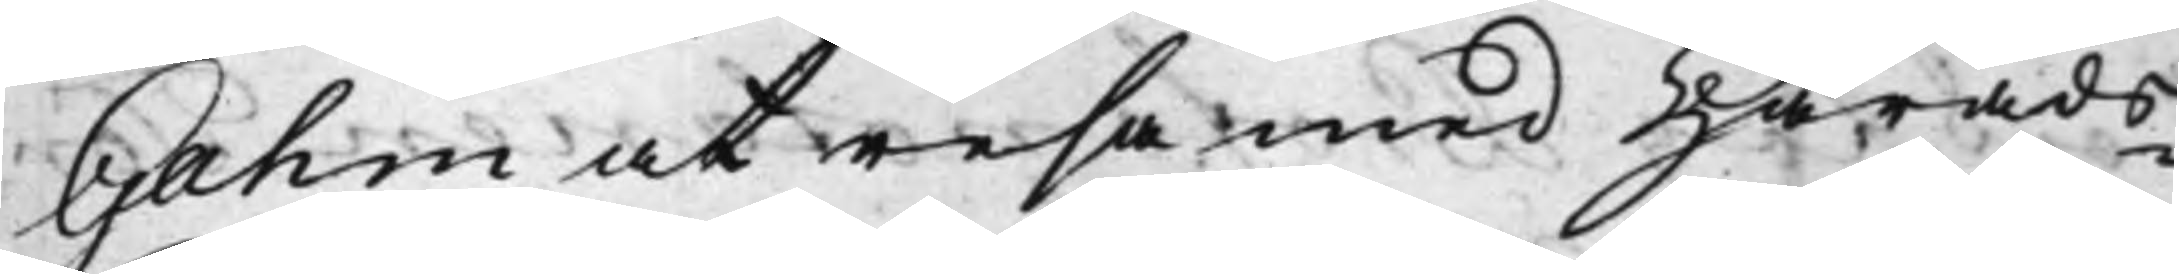Gahm at resa med Härads¬
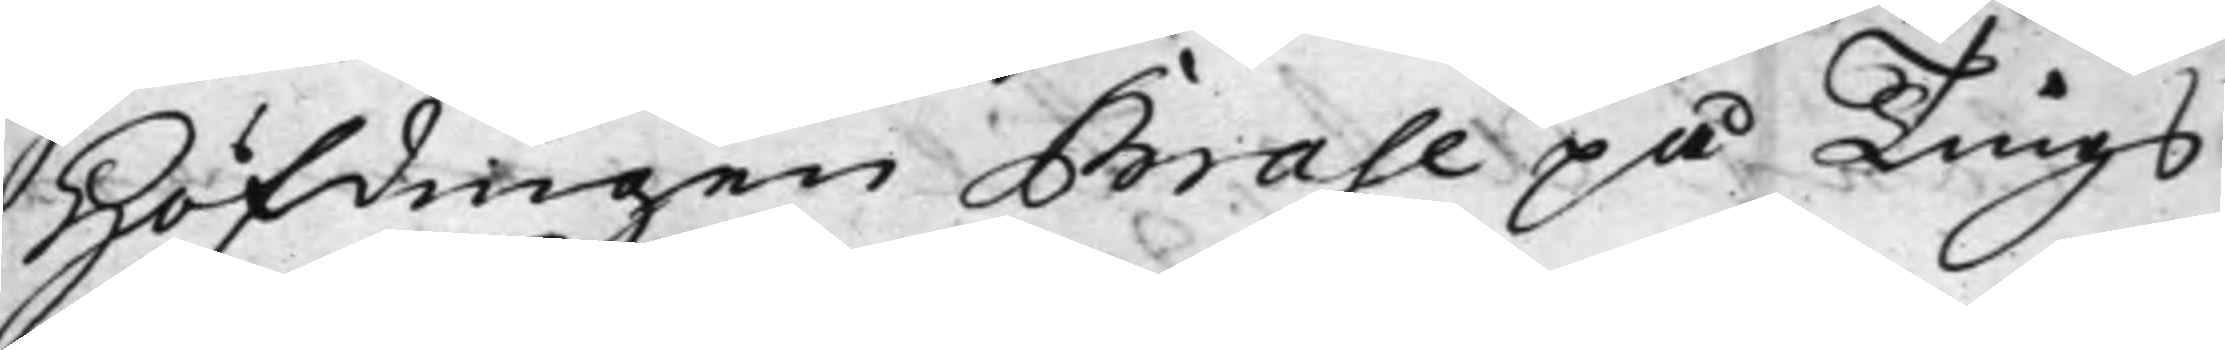Höfdingen Brase på Tings¬
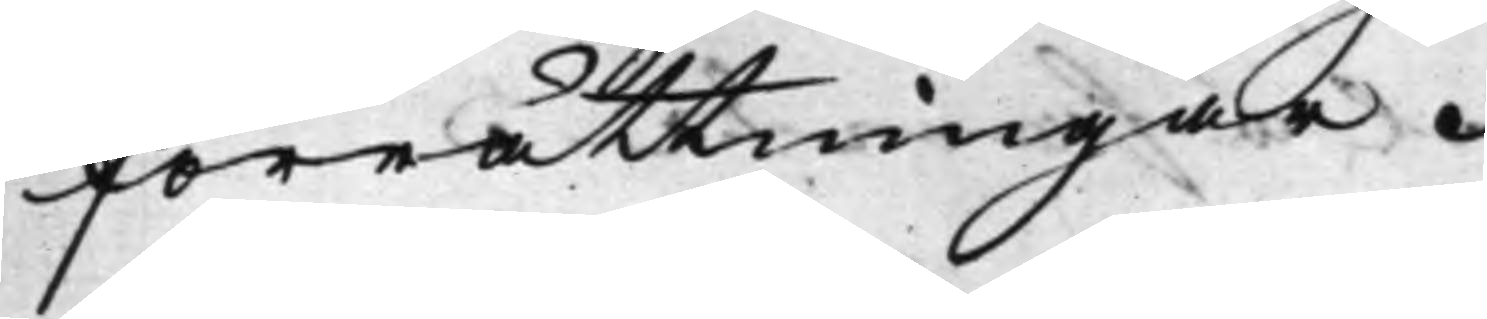förrättningar.
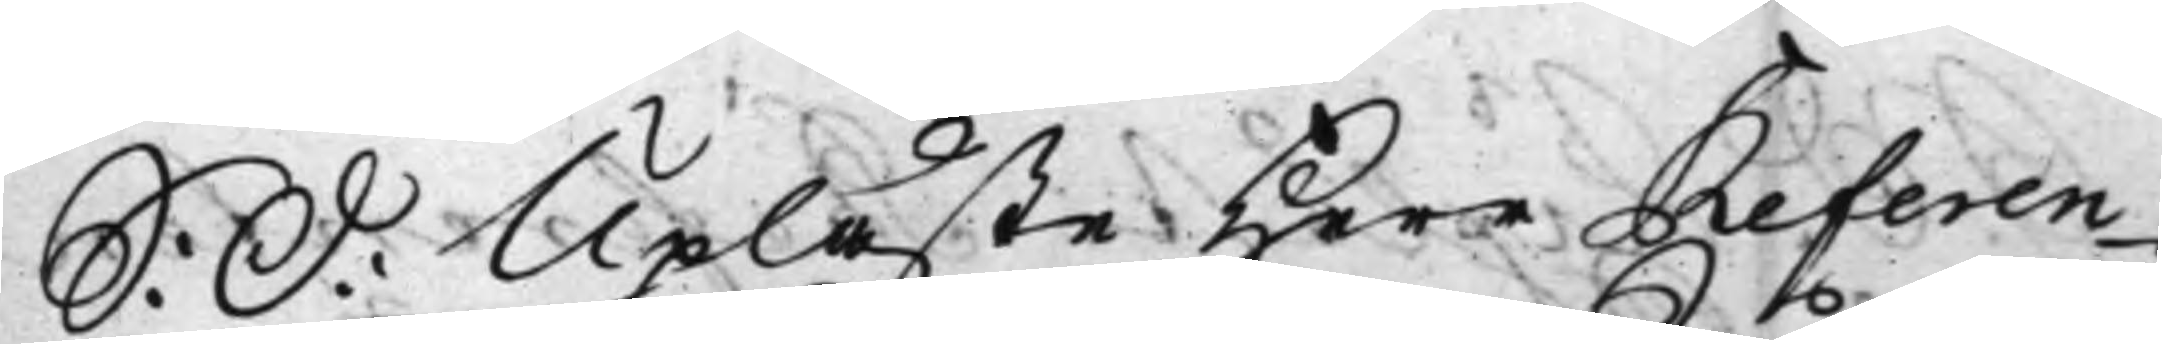S: D: Upläste Herr Referen¬
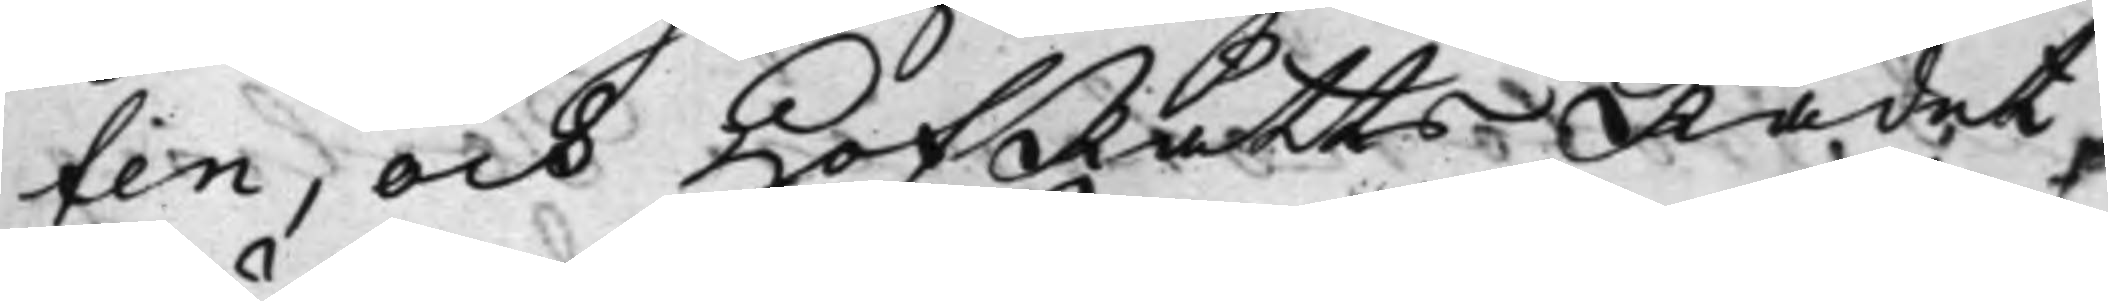ten, och HofRättsRådet,
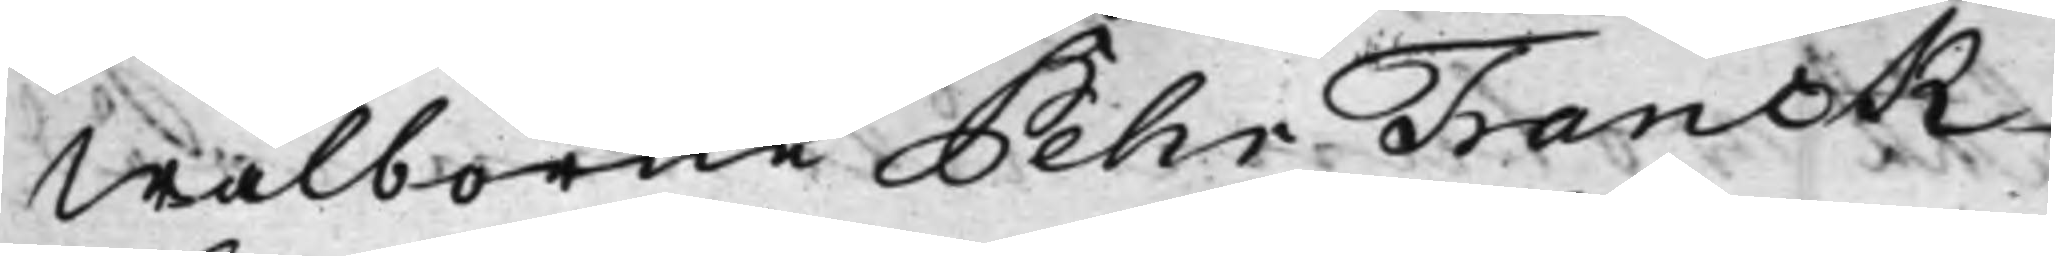Wälborne Pehr Franck
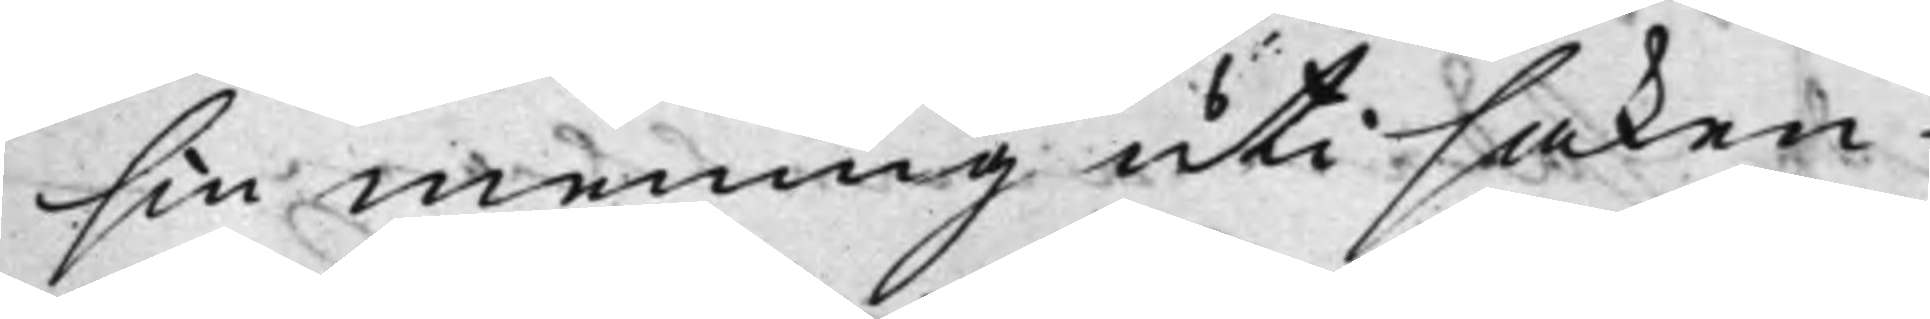sin mening uti saken
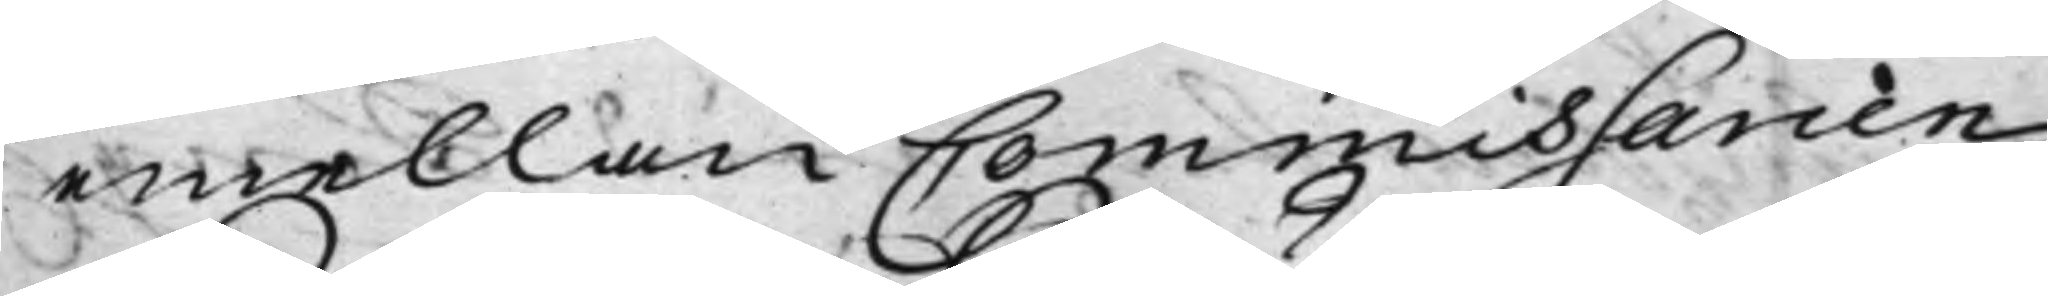emellan Commissarien
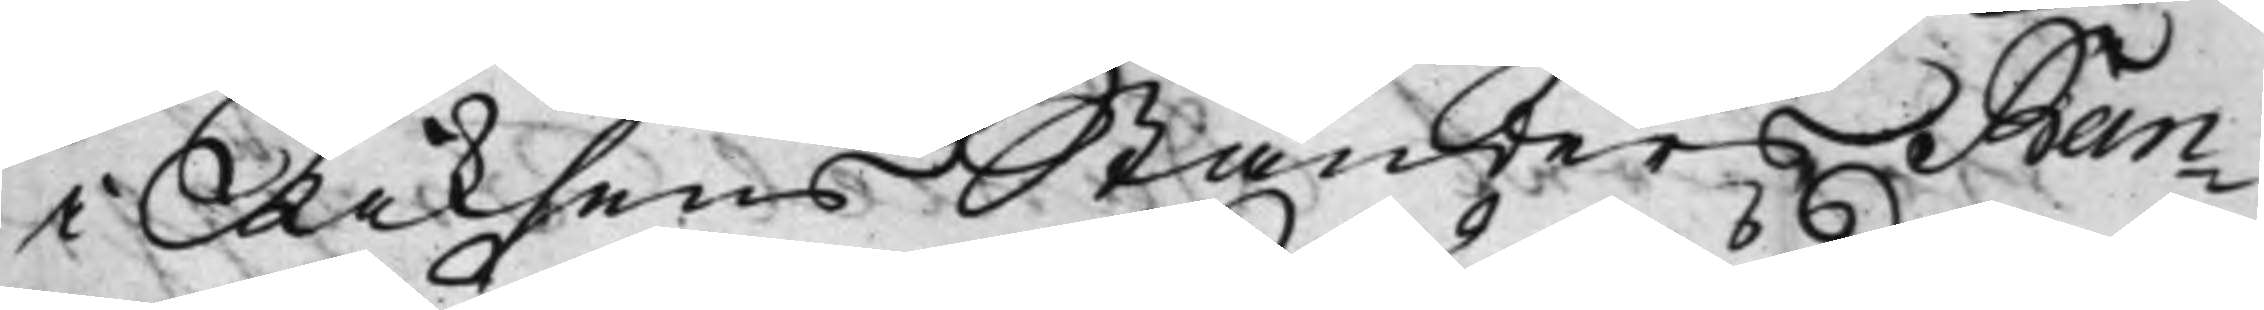i Riksens Ständers Ban¬
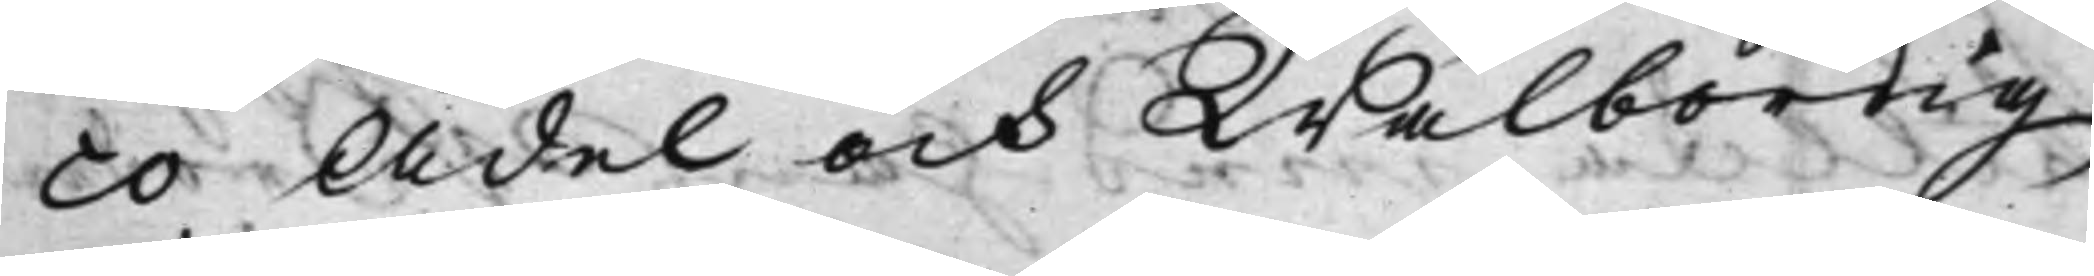co Ädel och Wälbördig
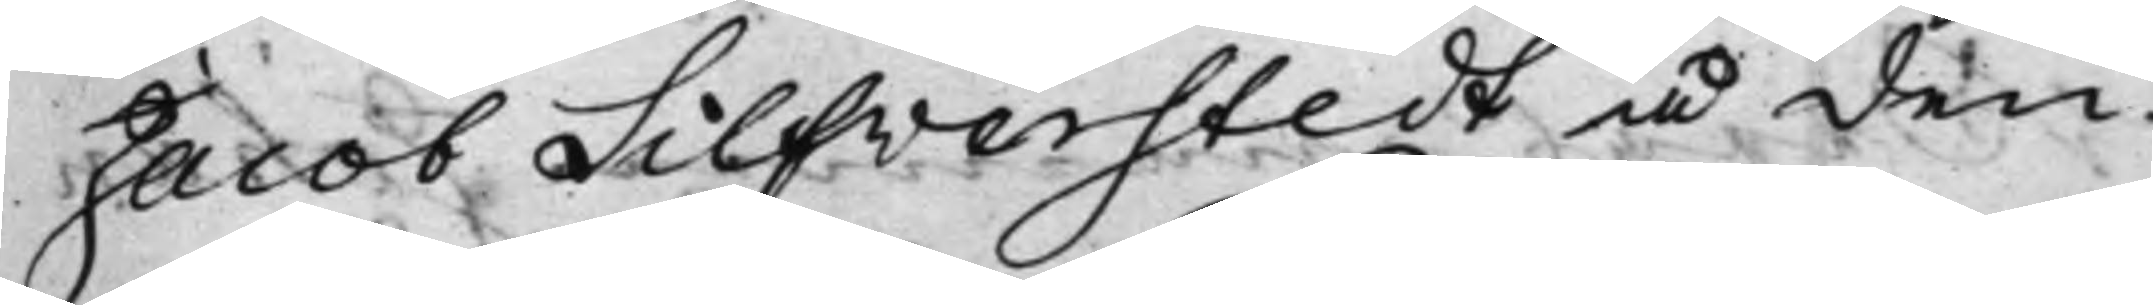Jacob Silfverstedt å den
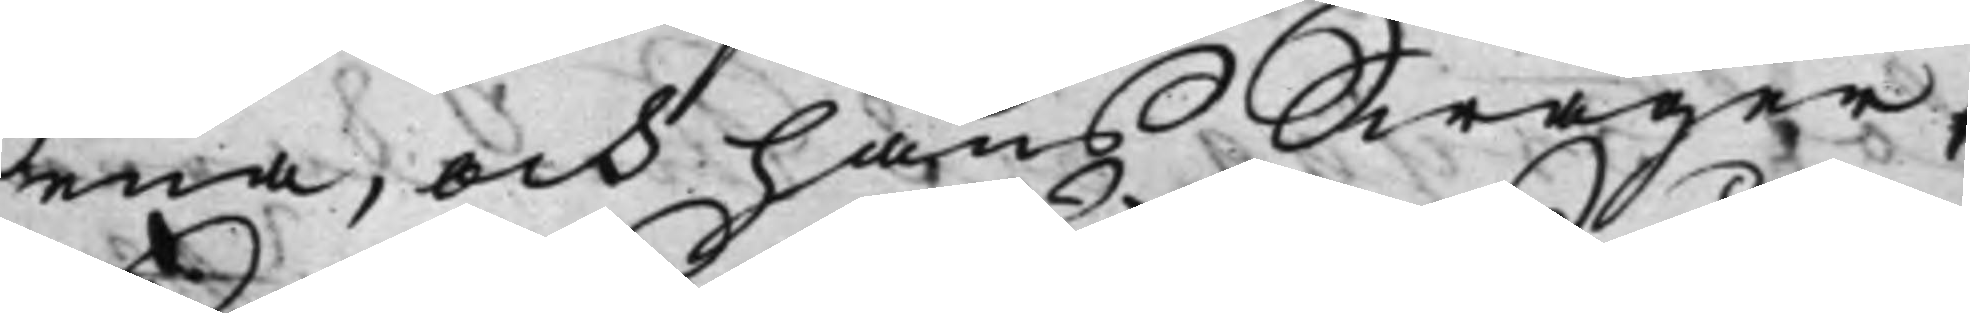ena, och hans Swåger
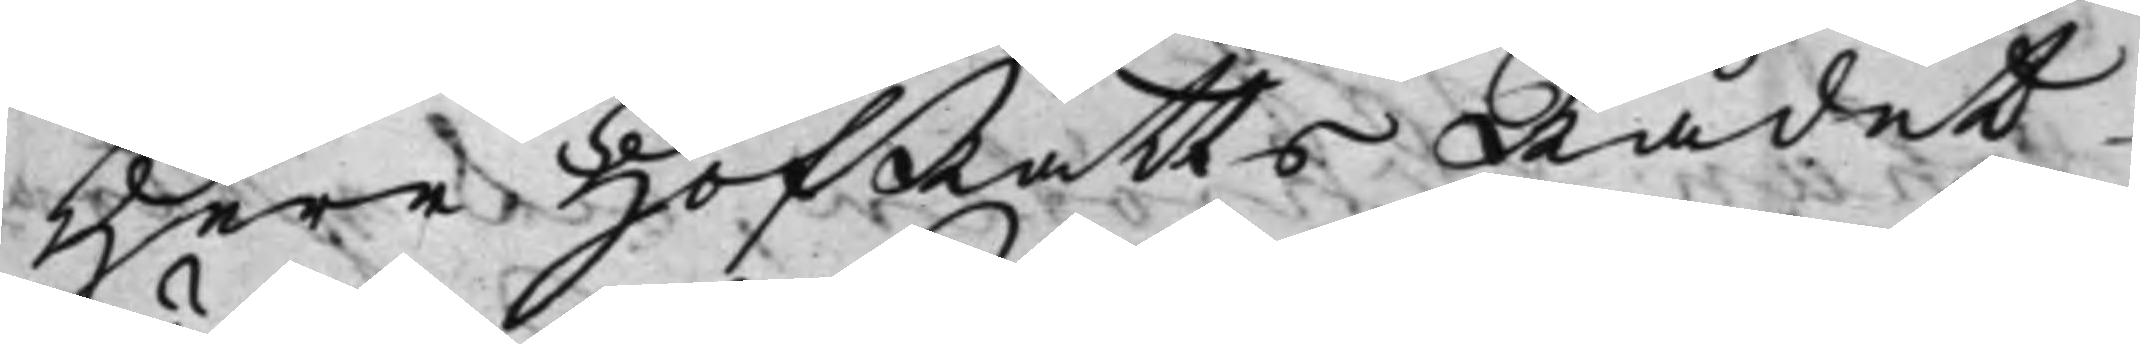Herr HofRätts Rådet
